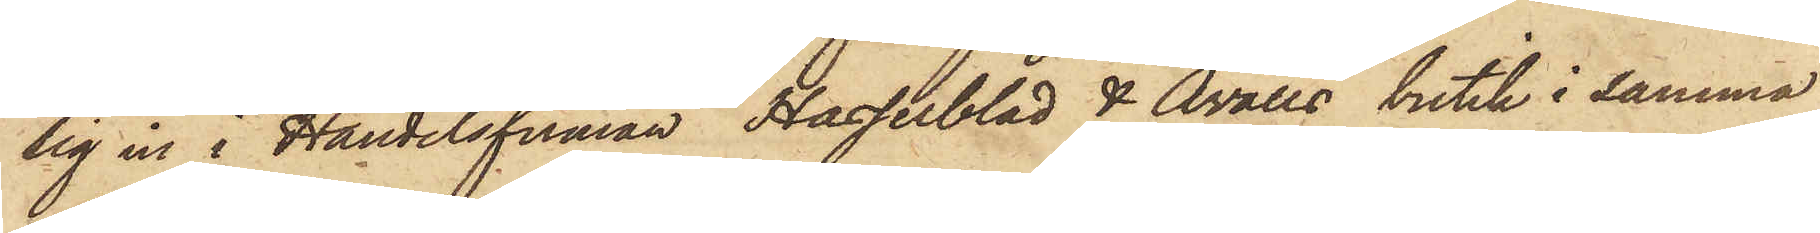sig in i Handelsfirman Hasselblad & Åvalls butik i samma
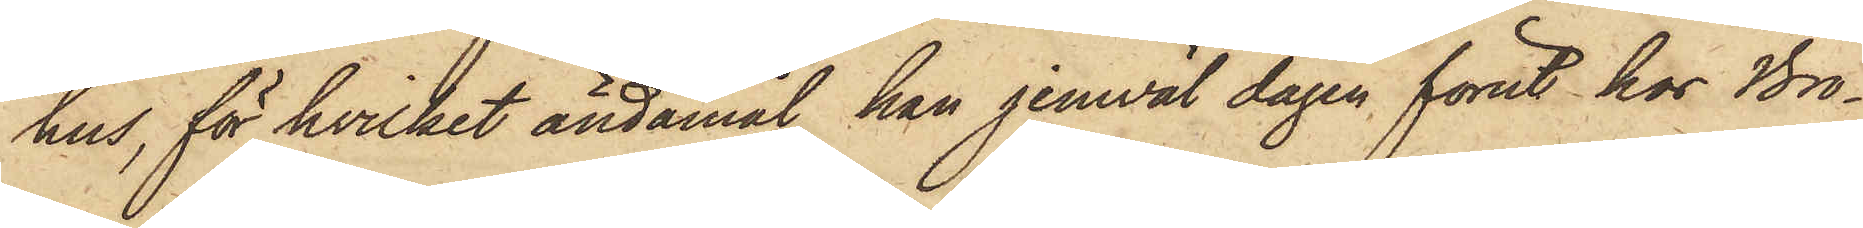hus, för hvilket ändamål han jemväl dagen förut hos Bro¬
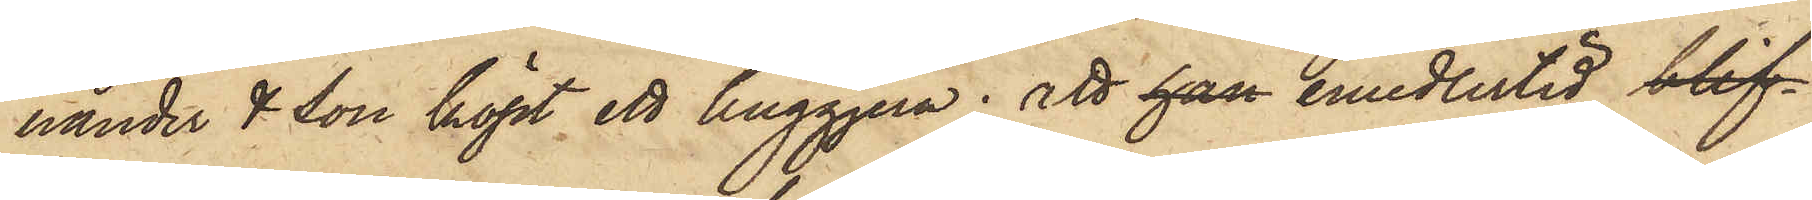hander & Son köpt ett huggjern; att han emedlertid blif¬
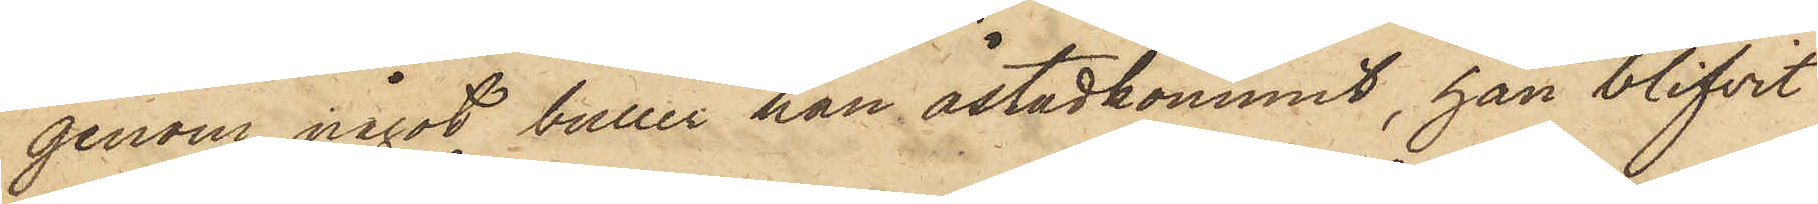genom något buller han åstadkommit, han blifvit
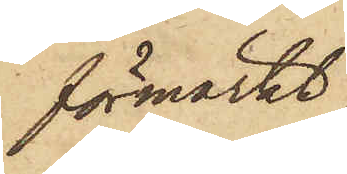förmärkt,
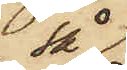så
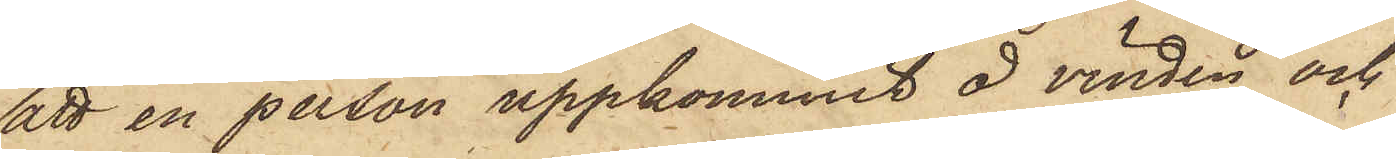att en person uppkommit å vinden och
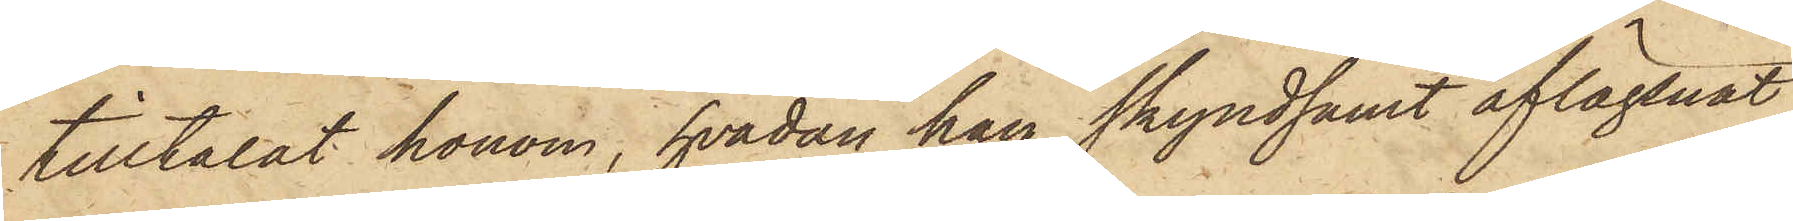tilltalat honom, hvadan han skyndsamt aflägsnat
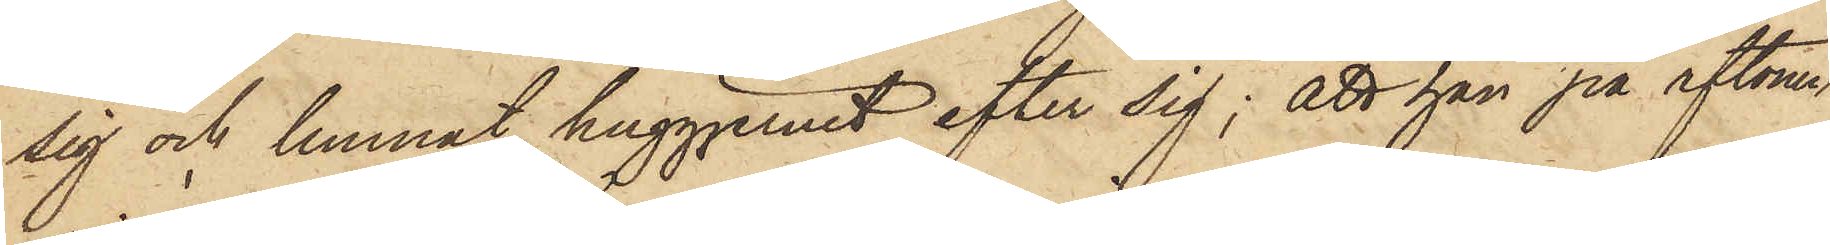sig och lemnat huggjernet efter sig; att han på aftonen,
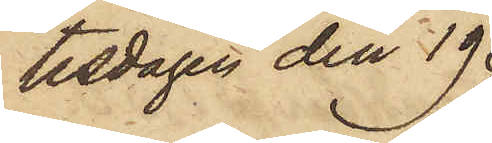tisdagen den 19
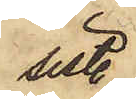sistl.
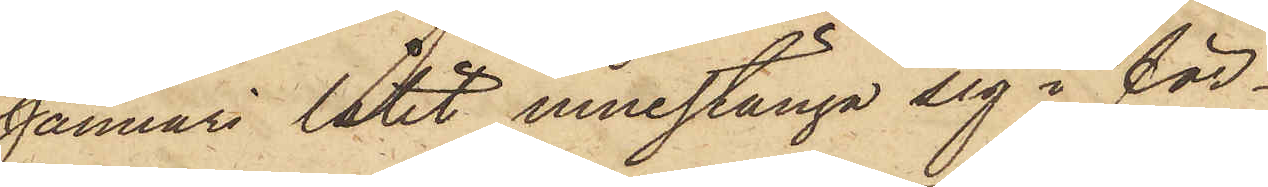Januari låtit innestänga sig i för¬
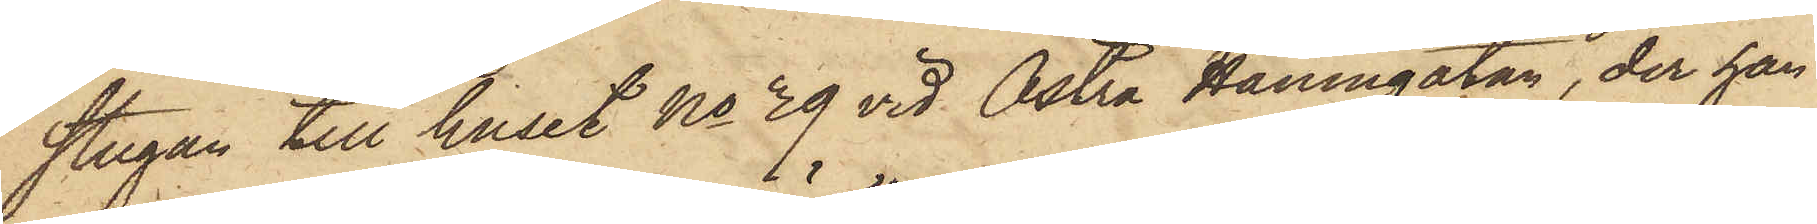stugan till huset No 39 vid Östra Hamngatan, der han
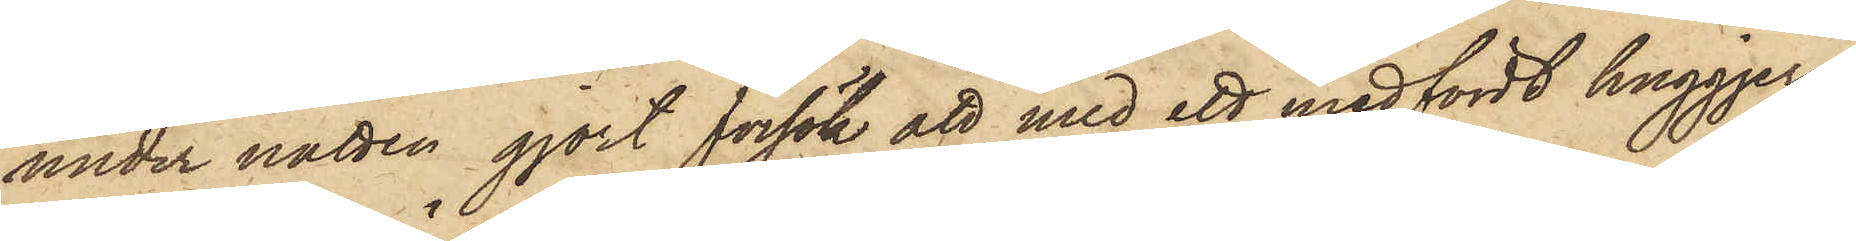under natten gjort försök att med ett medfördt huggjern
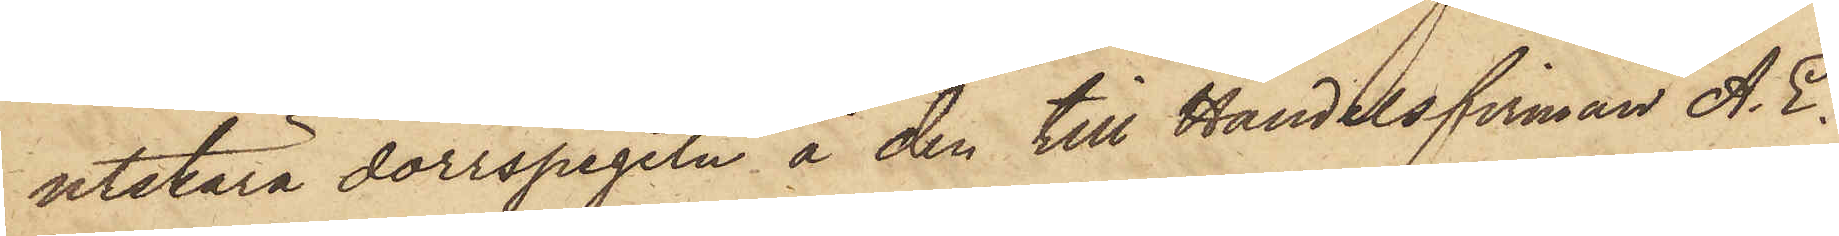utskära dörrspegeln å den till Handelsfirman A. E.
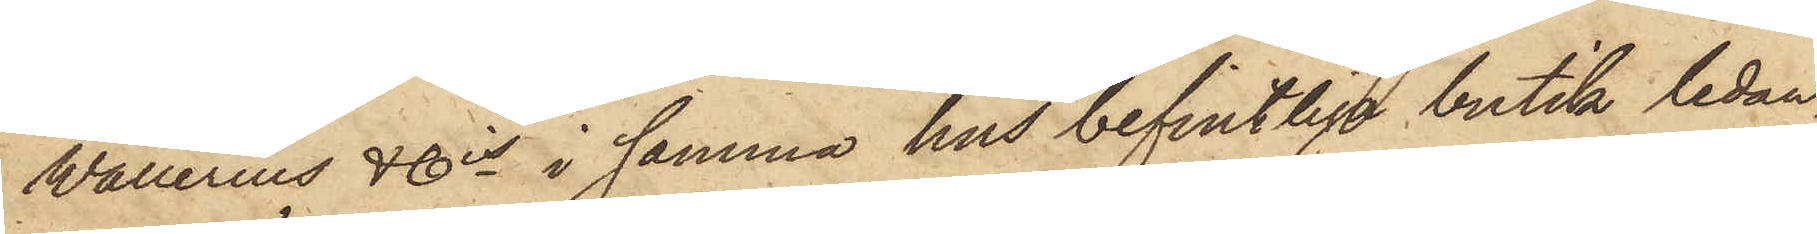Wallerius & Cis samma hus befintliga butik ledan¬
